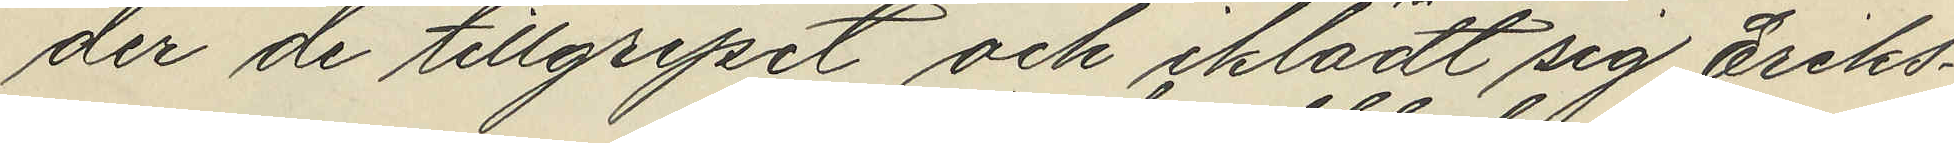der de tillgripit och iklädt sig Eriks¬
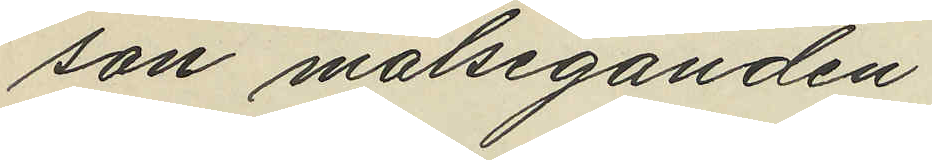son målseganden
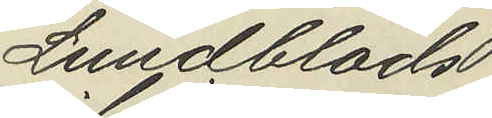Lundblads
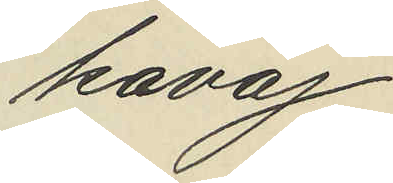kavaj
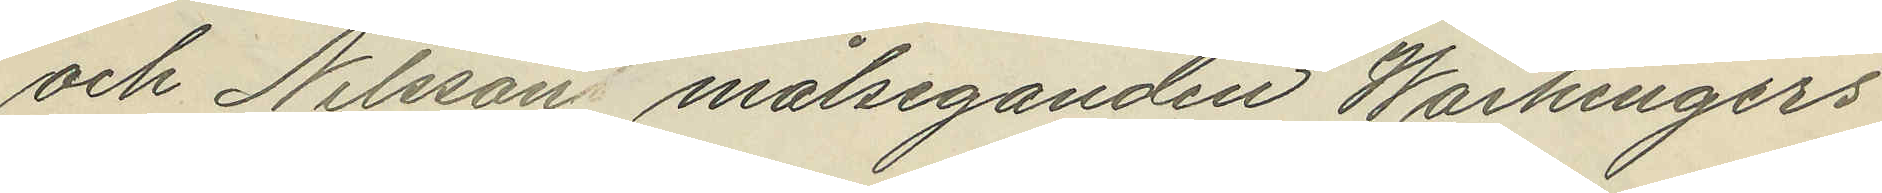och Nilsson målseganden Waihingers
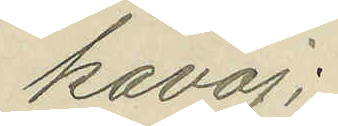kavaj;
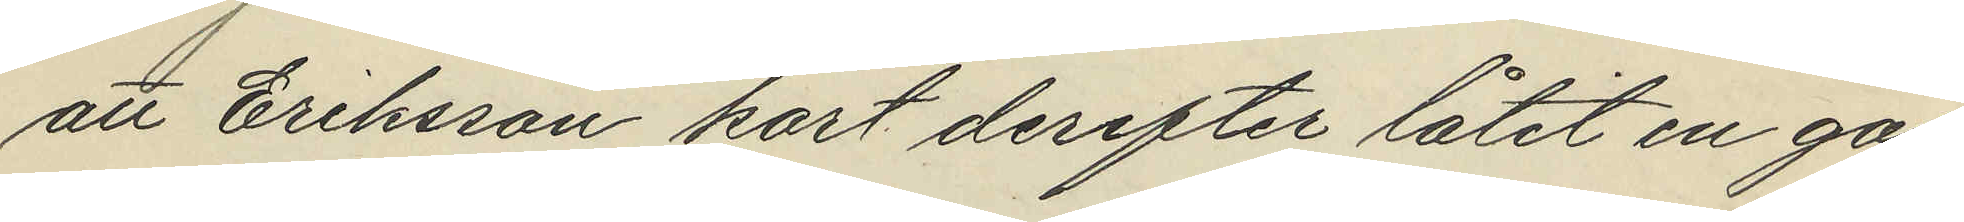att Eriksson kort derefter låtit en gos¬
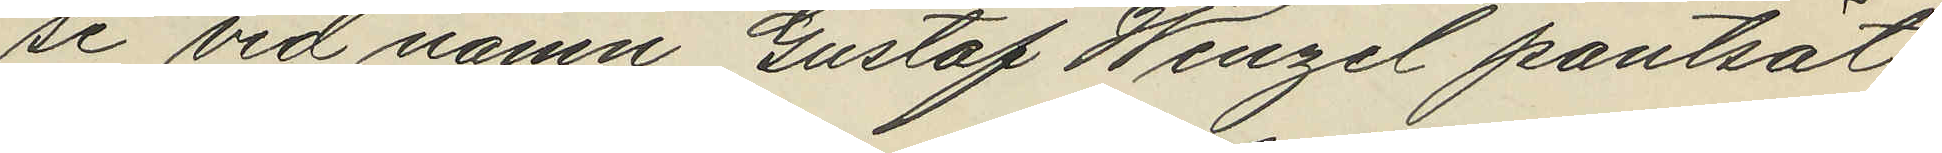se vid namn Gustaf Wengel pantsat¬
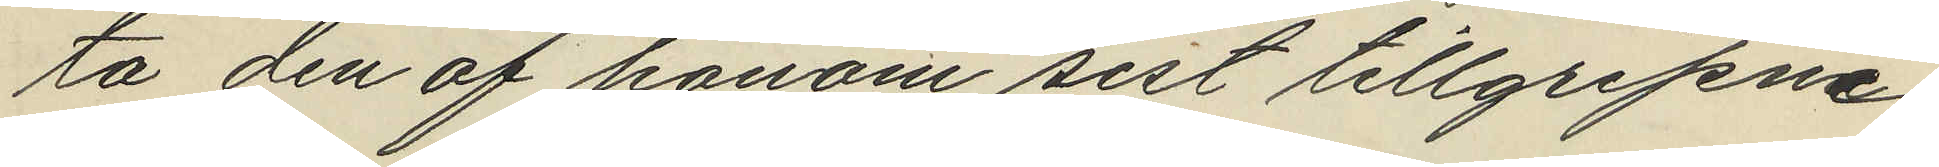ta den af honom sist tillgripne
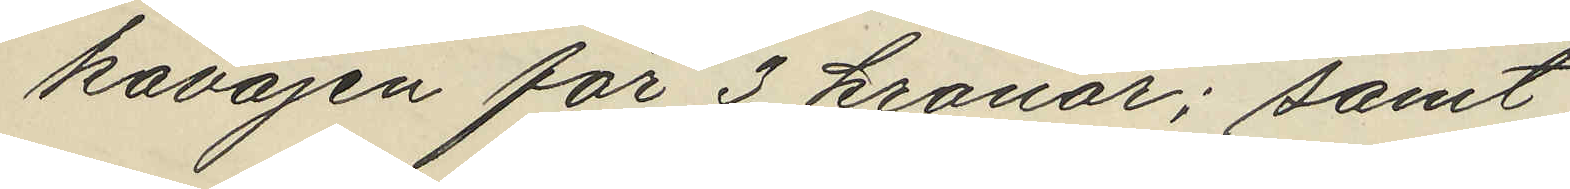kavajen för 3 kronor; samt
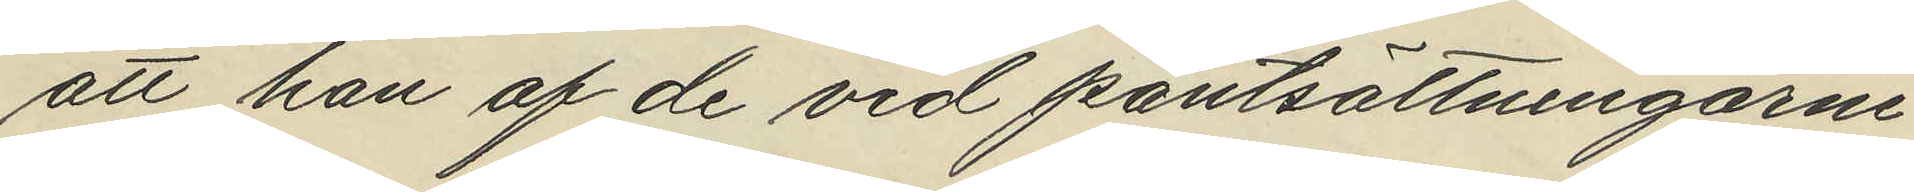att han af de vid pantsättningarne
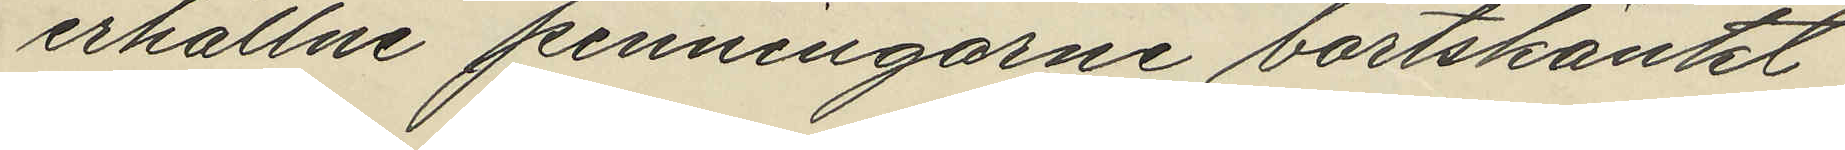erhållne penningarne bortskänkt
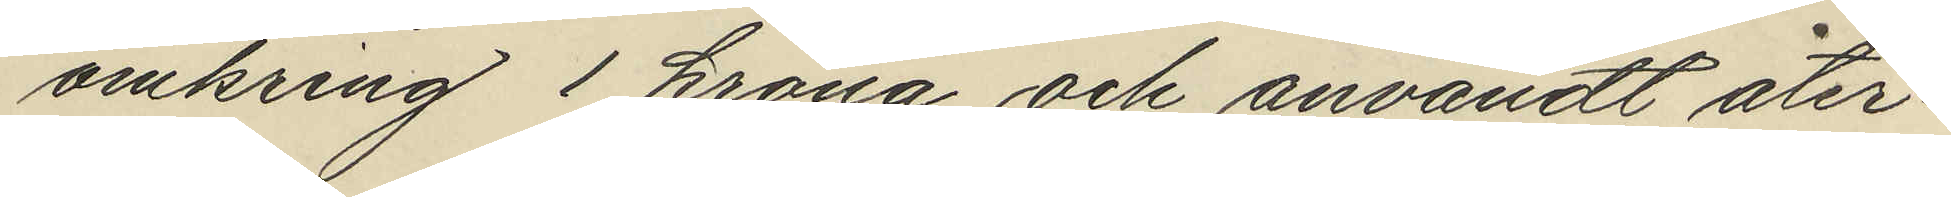omkring 1 krona och användt åter¬
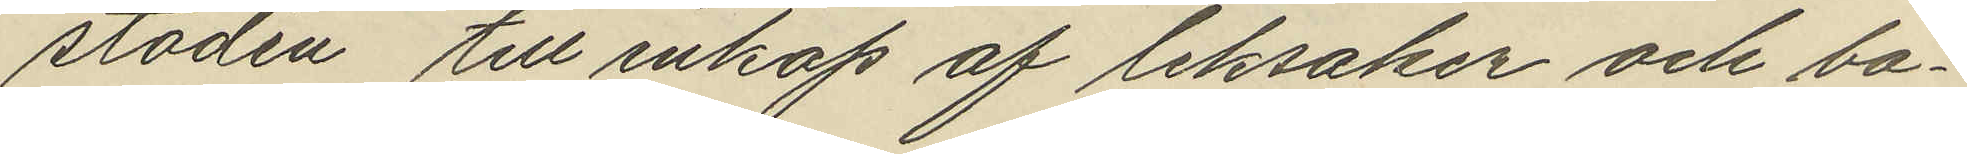staden till inköp af leksaker och ba¬
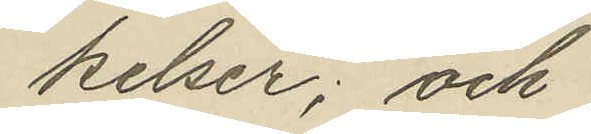kelser; och
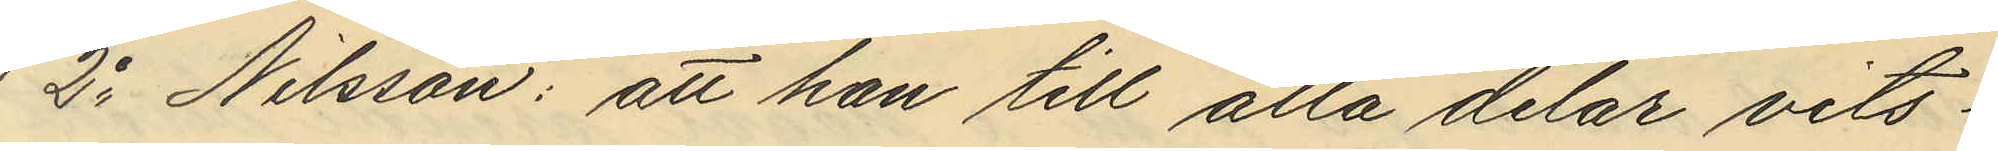2o Nilsson: att han till alla delar vits¬
